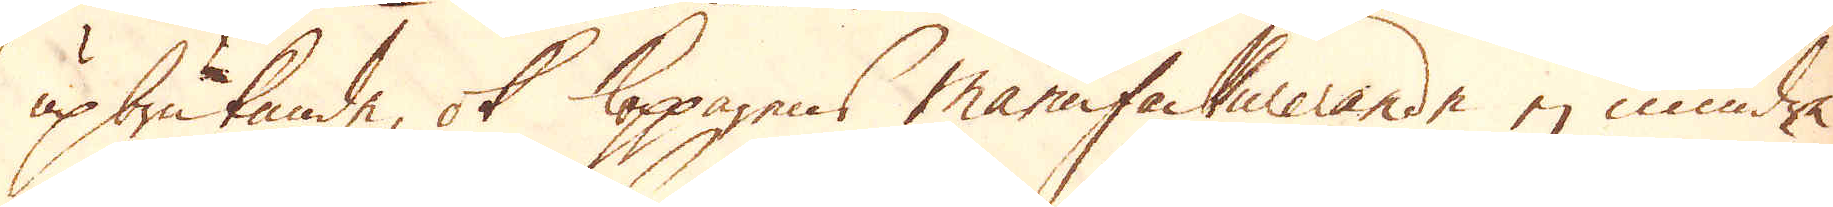upbrukande, ok Kopparens manufacturerande ej mindre
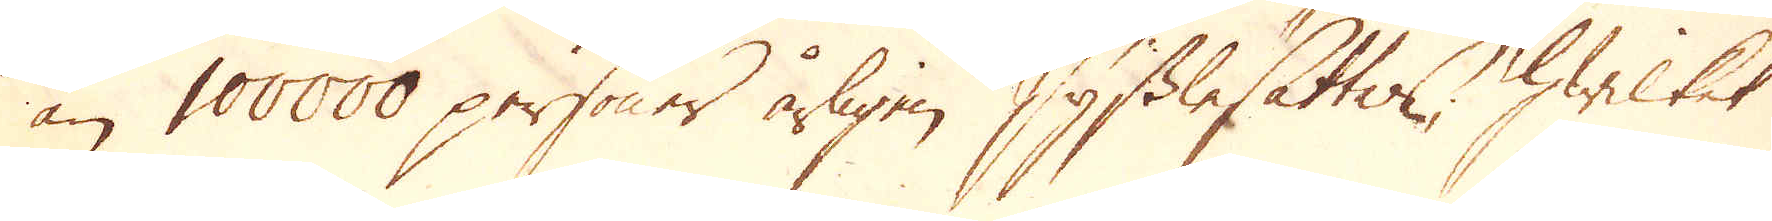än 100000 personer årligen sysslsättes, hwilket
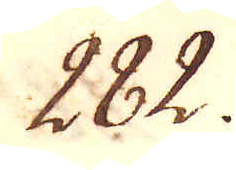282.
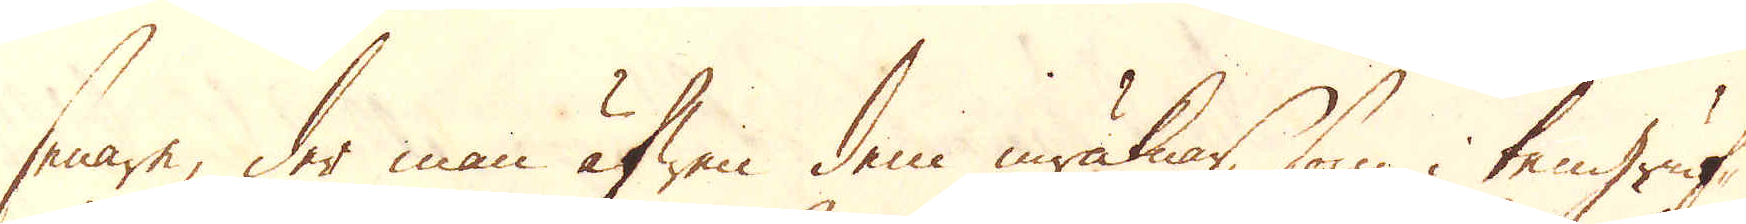senare, der man äfwen dem inräknar, som i tengruf-
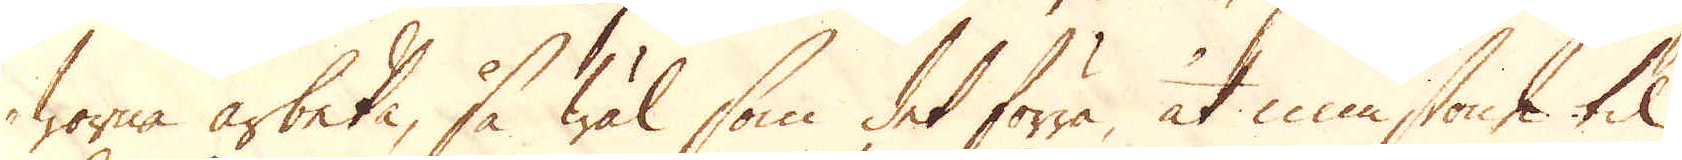worne arbeta, så wäl som det förra, åt minstone til
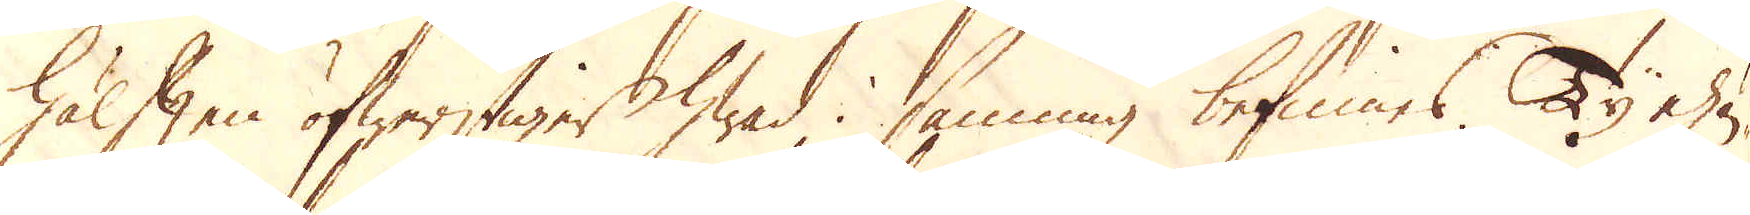hälften öfwerstiger hwad i sanning befinnes. Ty ehu-
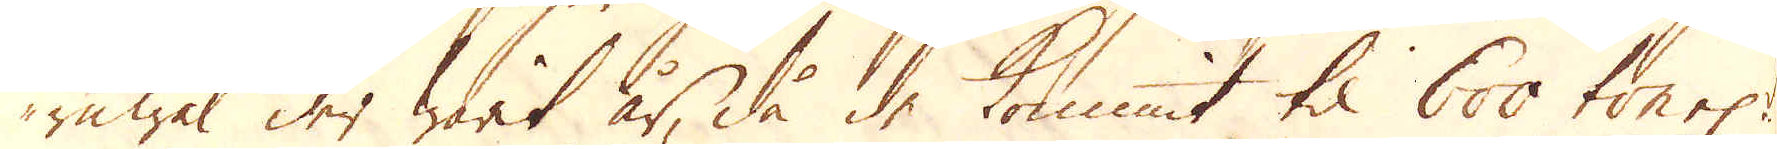ruwäl der warit år, då de kommit til 600 ton el:r
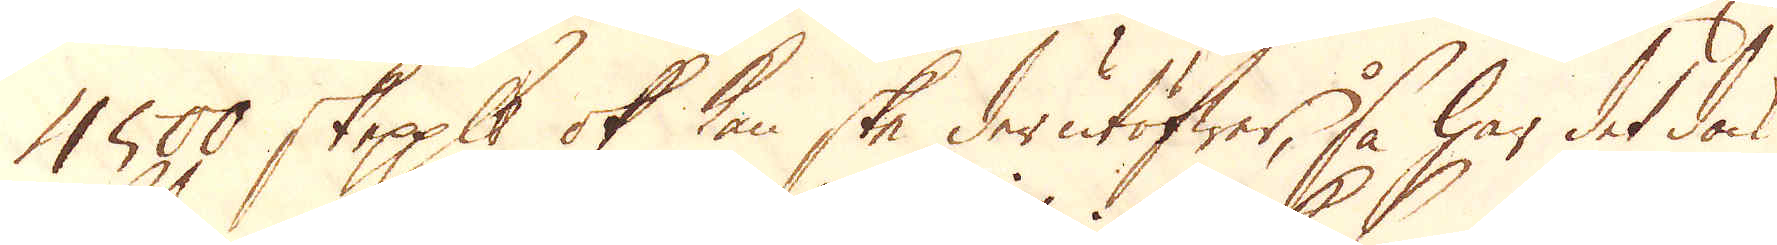1500 skeppund ok kan ske derutöfwer, så har det dock
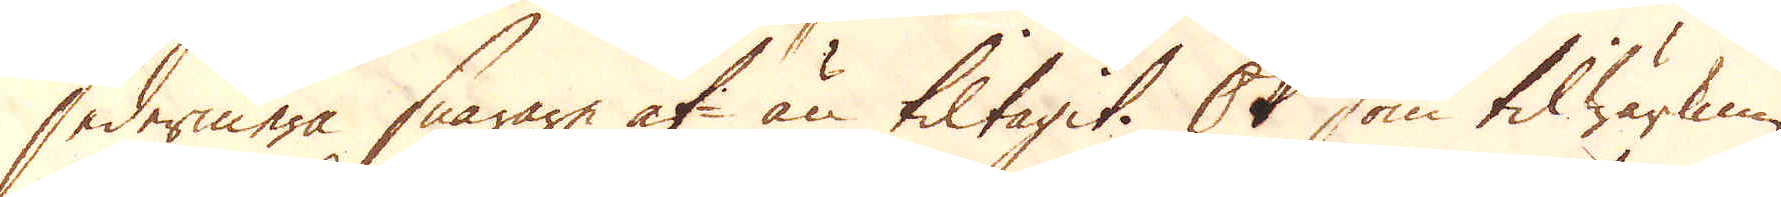sedermera snarare af- än tiltagit. Ok som tilwärknin-
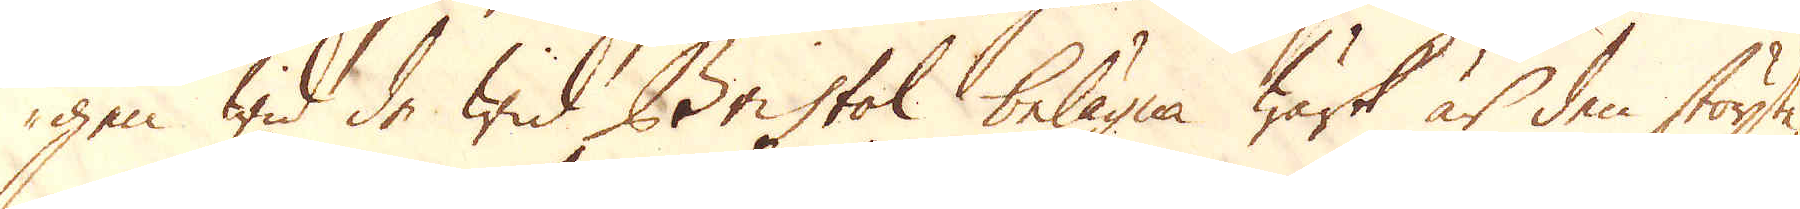gen wid de wid Bristol belägna wärk är den störste,
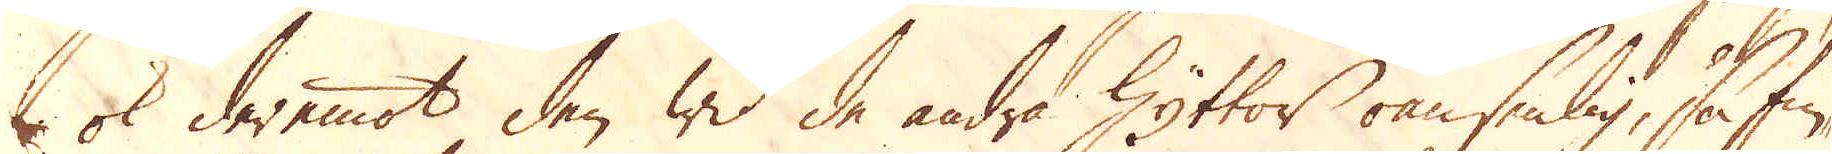ok deremot den wid de andra Hyttor oansenlig, så fin-
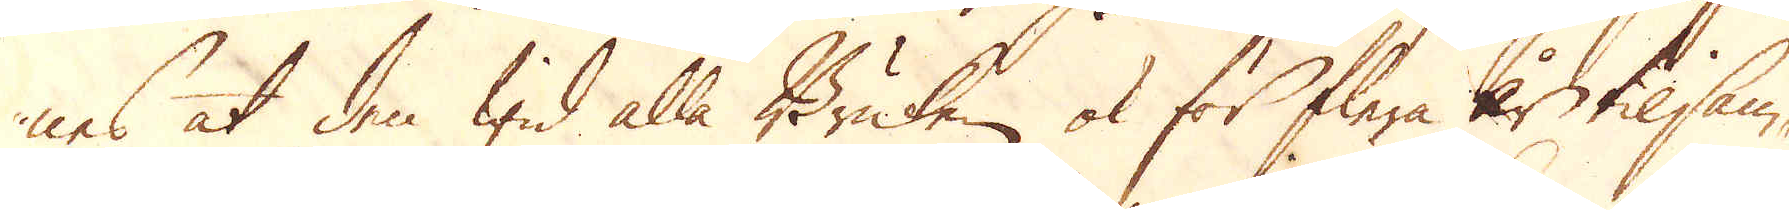nes at den wid alla Bruken ok för flera år tilsam-
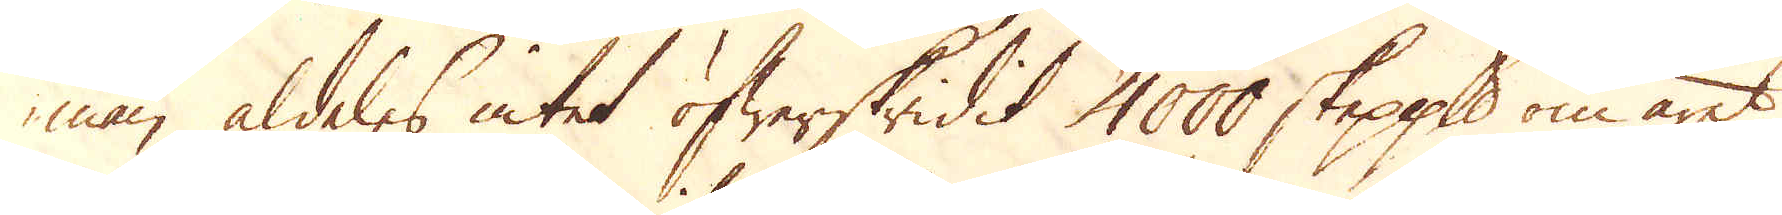man aldeles intet öfwerskridit 4000 skeppund om året,
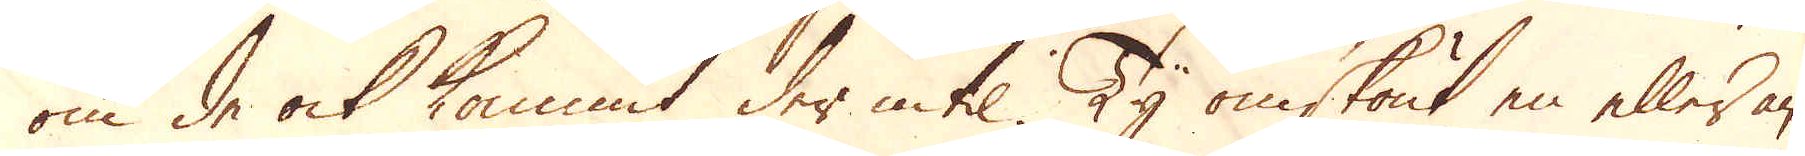om de ock kommit der intil. Ty omskönt en eller an-
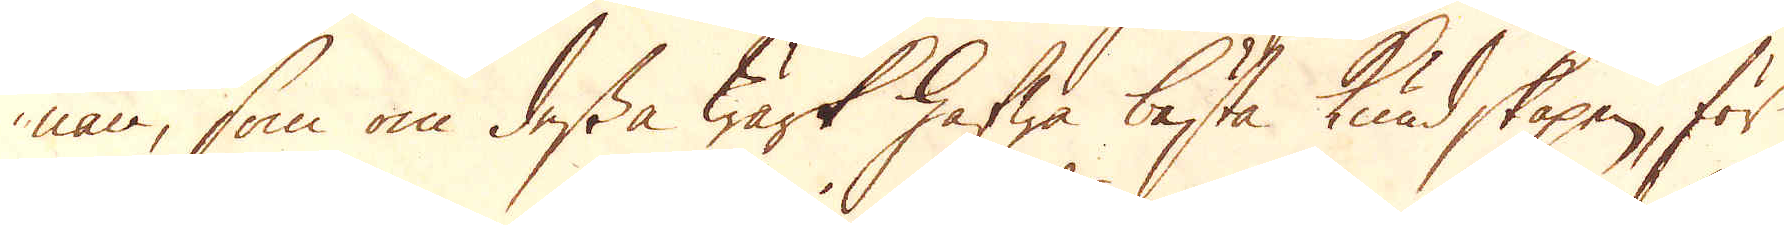nan, som om dessa Wärk hafwa bästa kundskapen, för
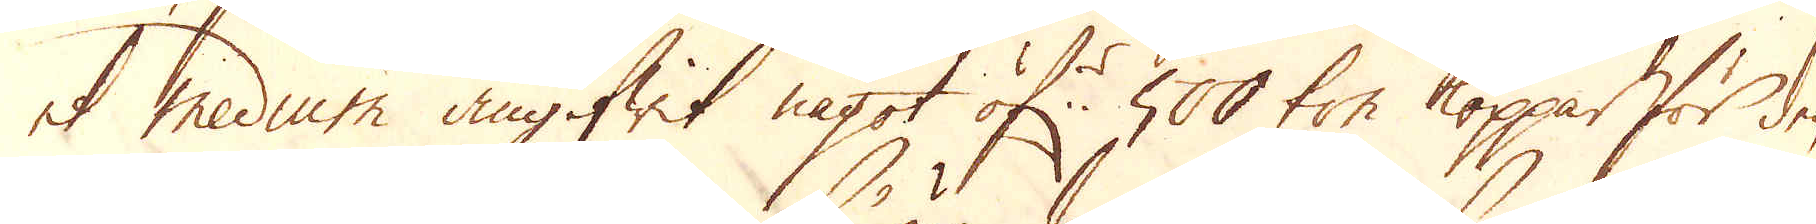et medium angifwit något öf:r 500 ton koppar för den
